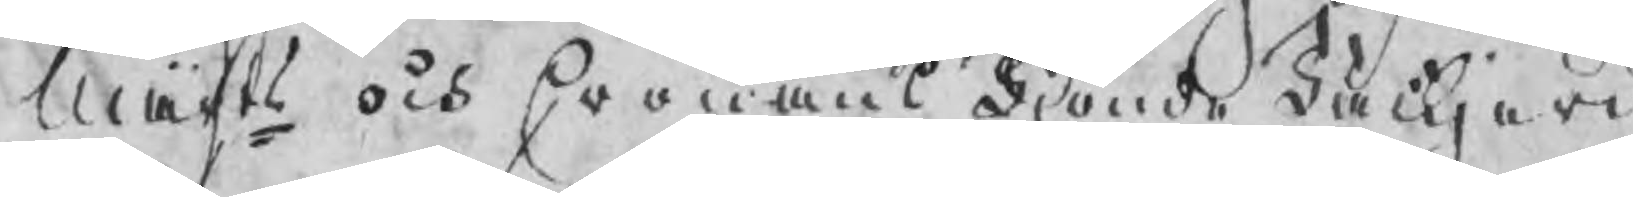Maijts och Cronans Tjonde Tackjern
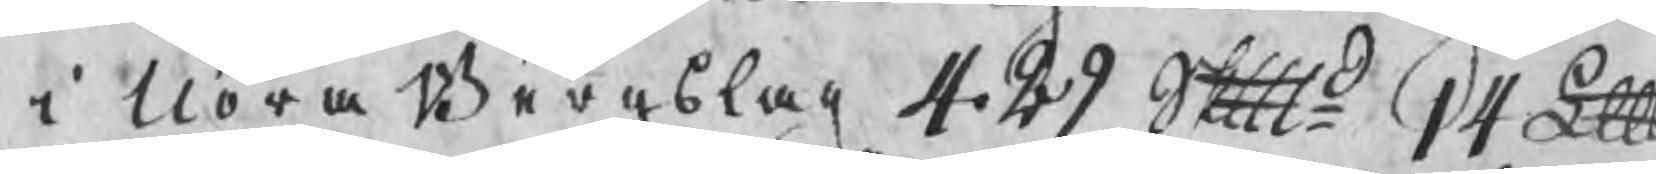i Nora Bergslag 429 Skpd 14 Lpd
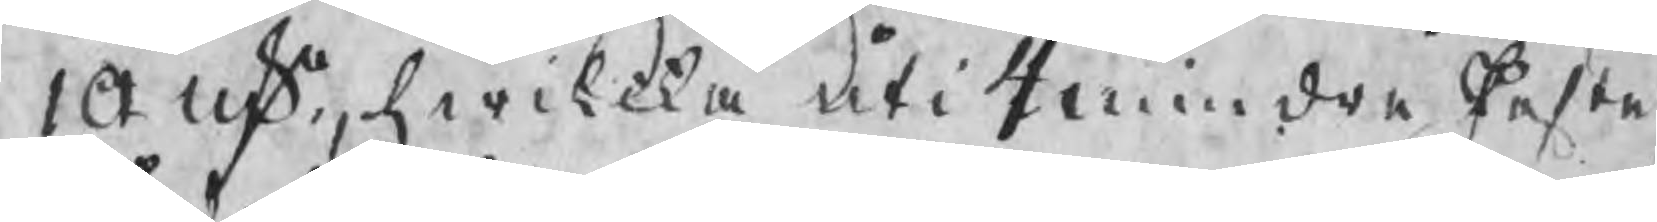10 nko, hwilcka uti 4 mindre Poster
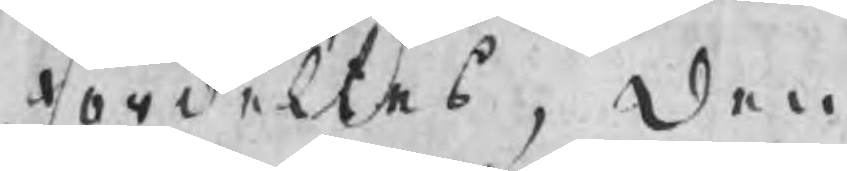fördeltes,  Den
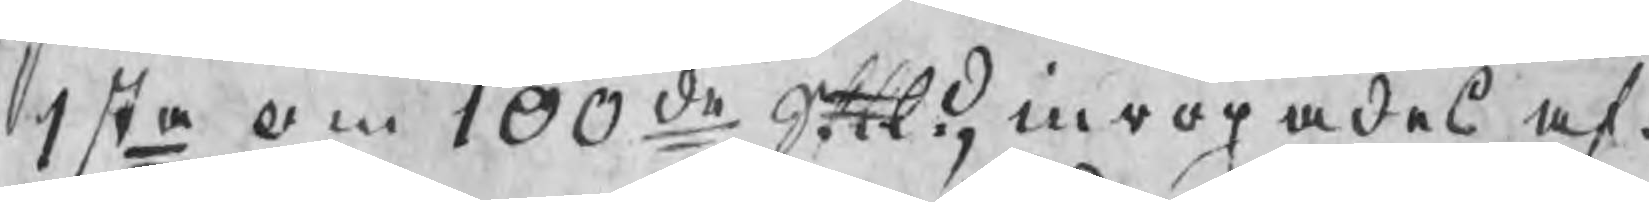1sta om 100de Skpd, inropades af
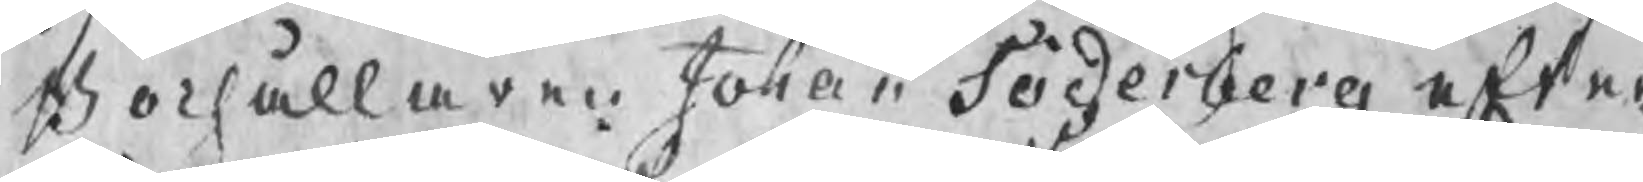Bochållaren Johan Söderberg efter
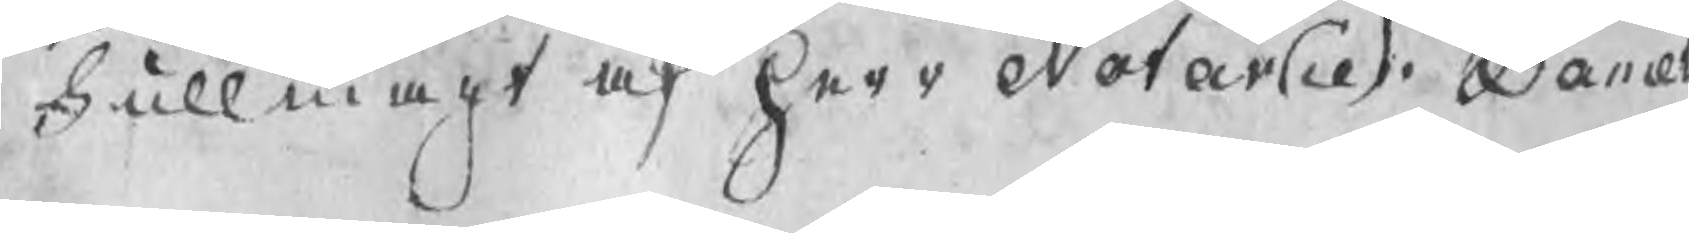Fullmagt af herr Notarie Daniel
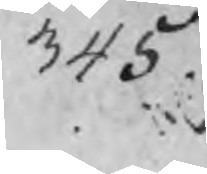345.
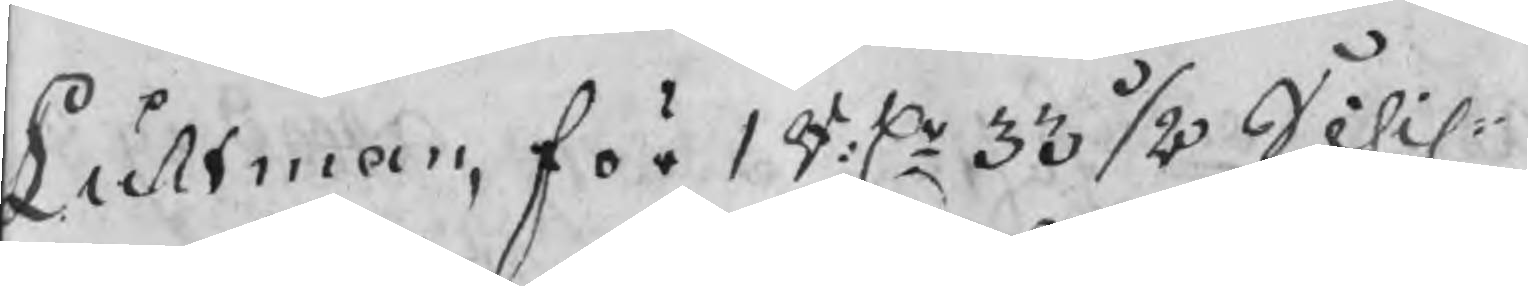Luhtman, för 1 R:Dr 33 ½ Schil
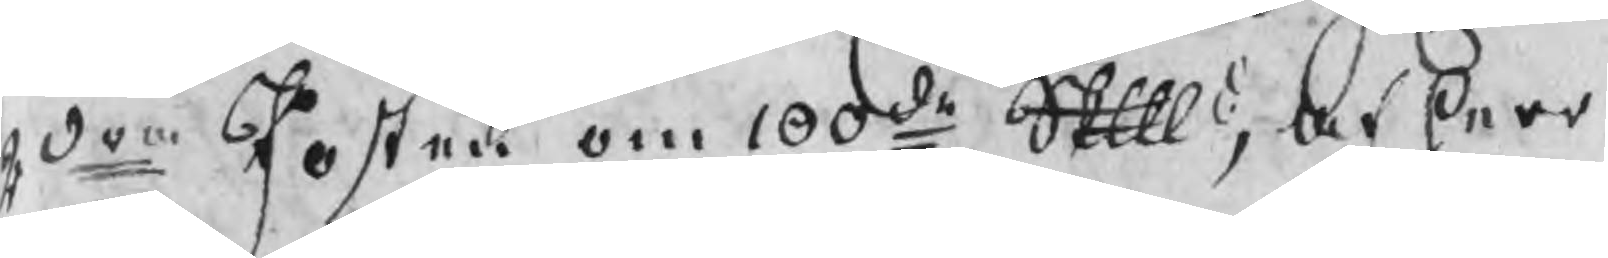2dra Posten om 100de Skpd, af herr
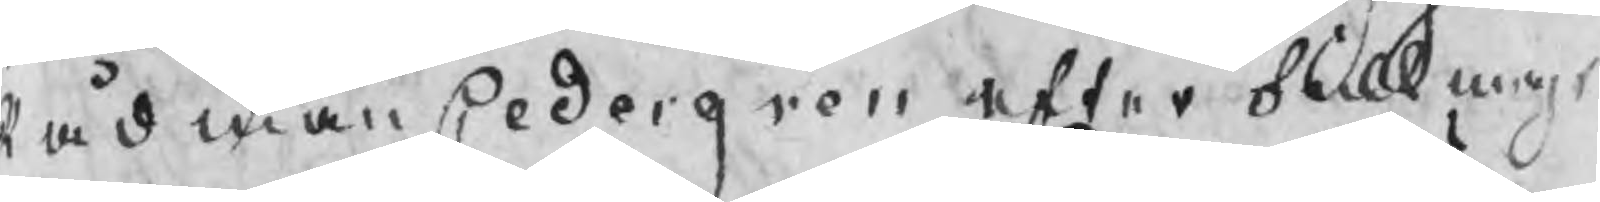Rådman Cedergren efter fullmagt
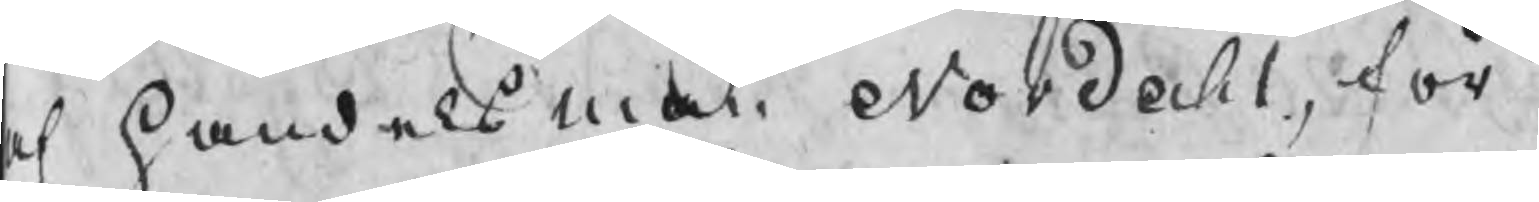af handelsman Nordahl, för
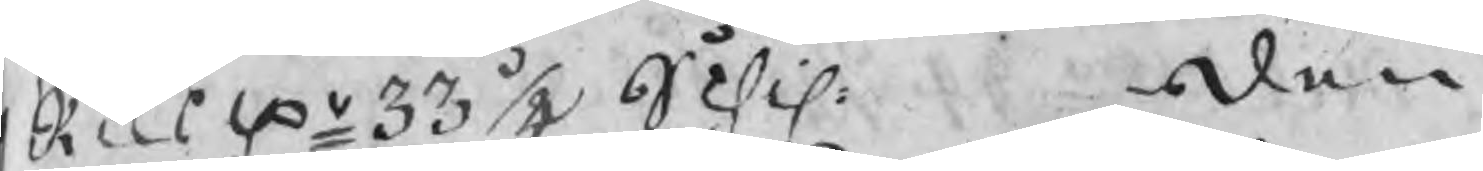Riksdr 33 ½ Schil     Den
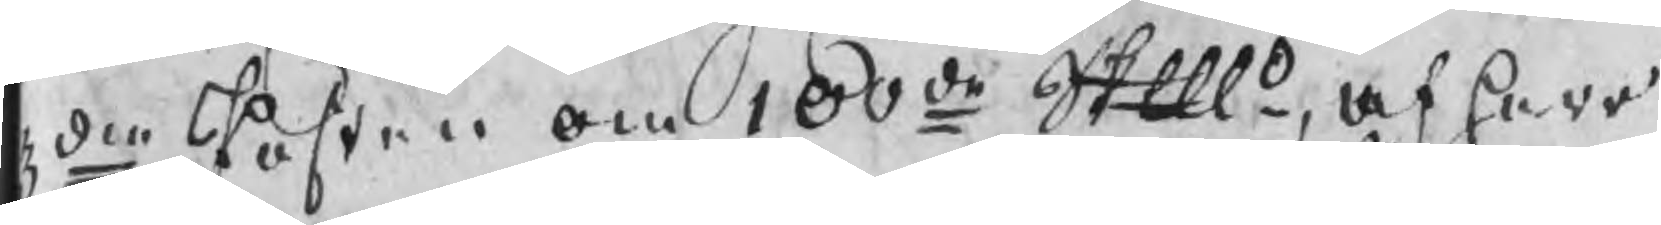3die Posten om 100de Skpd, af herr
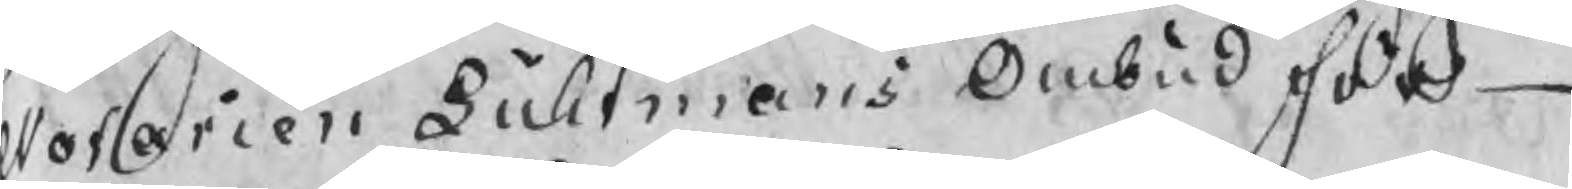Notarien Luhtmans Ombud för
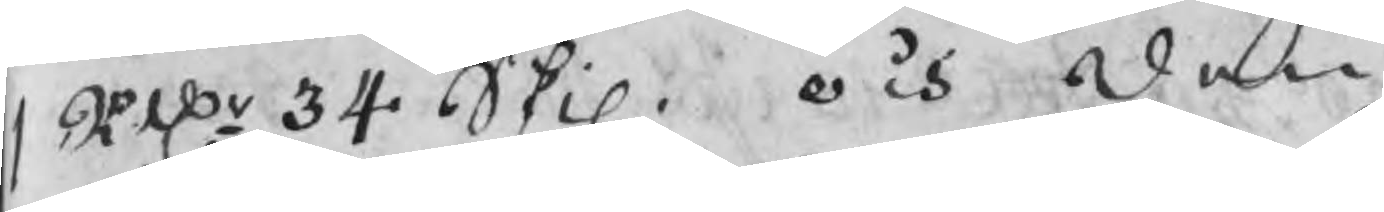1 RDr 34 Skil.  och Den
